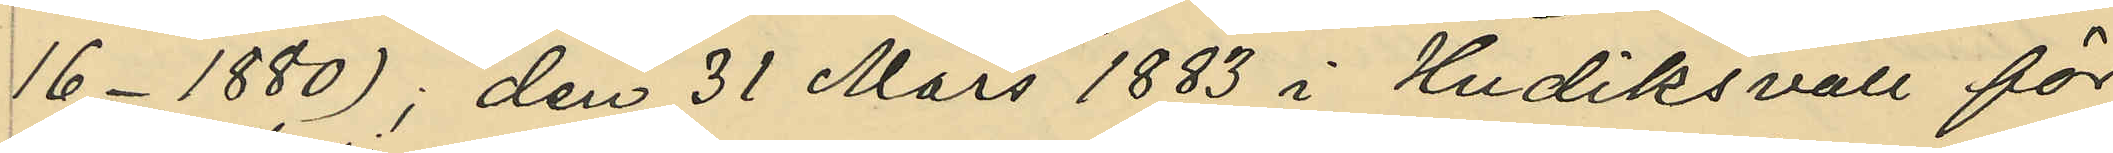16 - 1880); den 31 Mars 1883 i Hudiksvall för
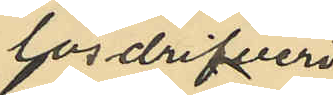lösdrifveri;
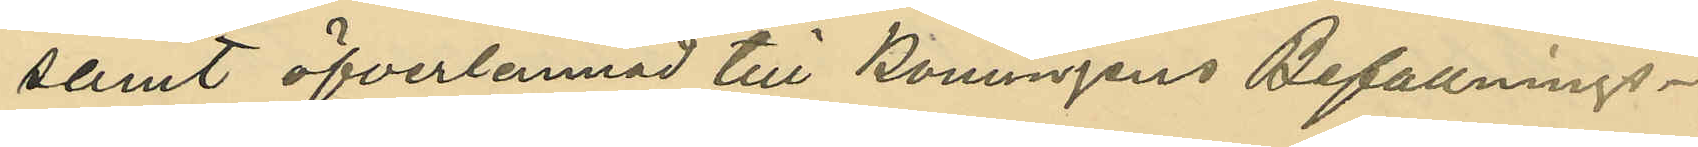samt öfverlemnad till Konungens Befallnings¬
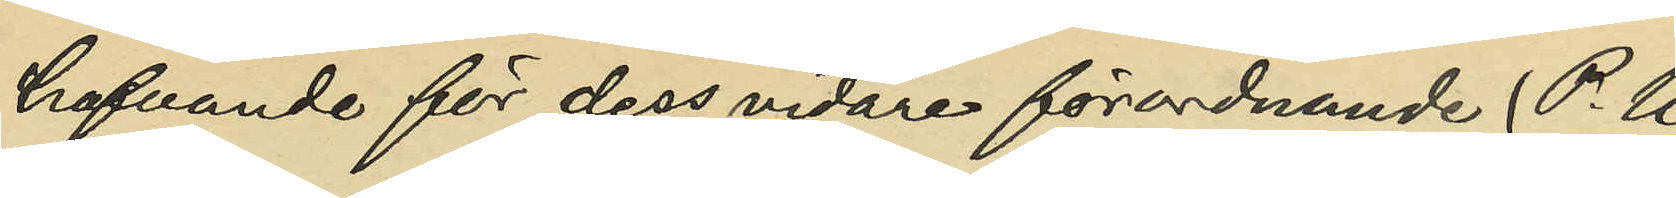hafvande för dess vidare förordnande (P. U.
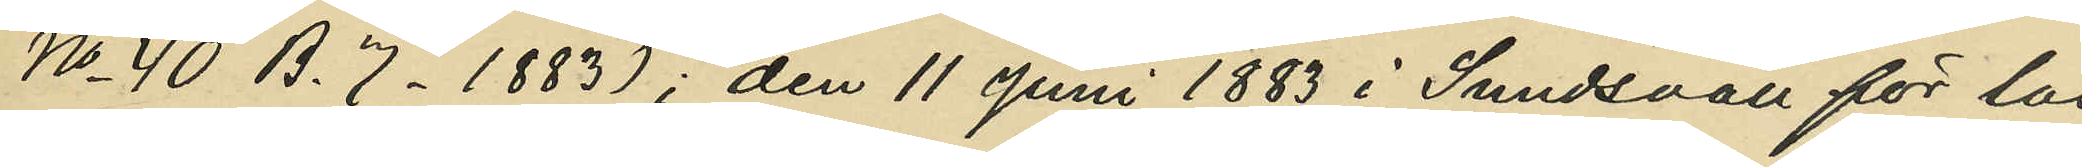No 40 B. 7. 1883); den 11 Juni 1883 i Sundsvall för lös¬
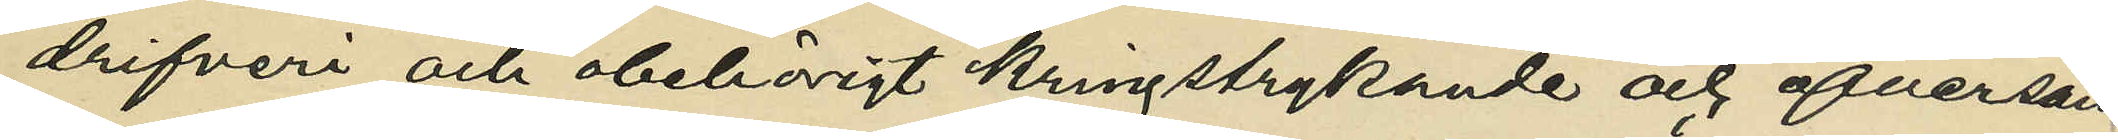drifveri och obehörigt kringstrykande och öfversänd
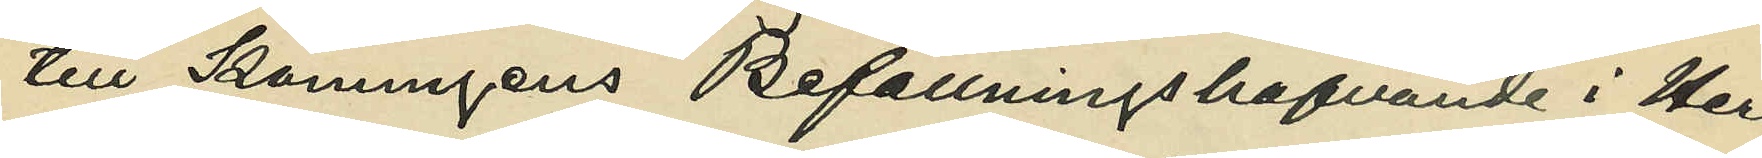till Konungens Befallningshafavnde i Her¬
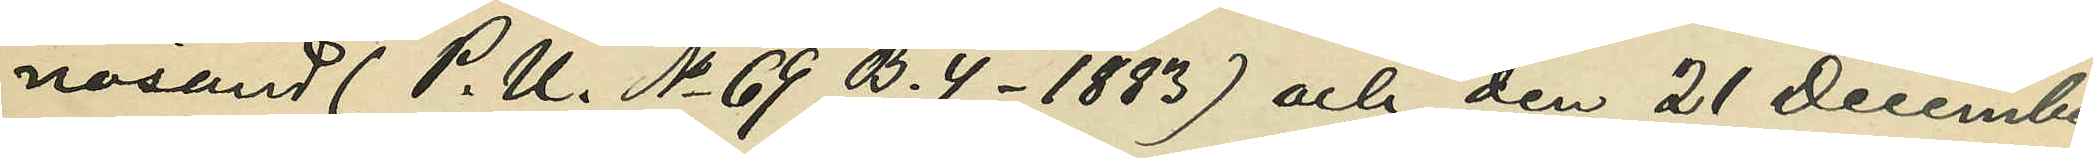nösand (P. U. No 69 B. 4. 1883) och den 21 December
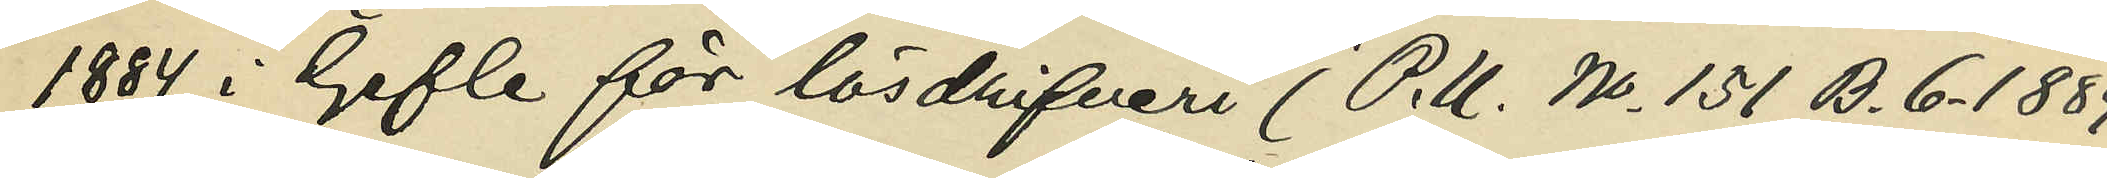1884 i Gefle för lösdrifveri (P. U. No 151 B. 6. 1884;
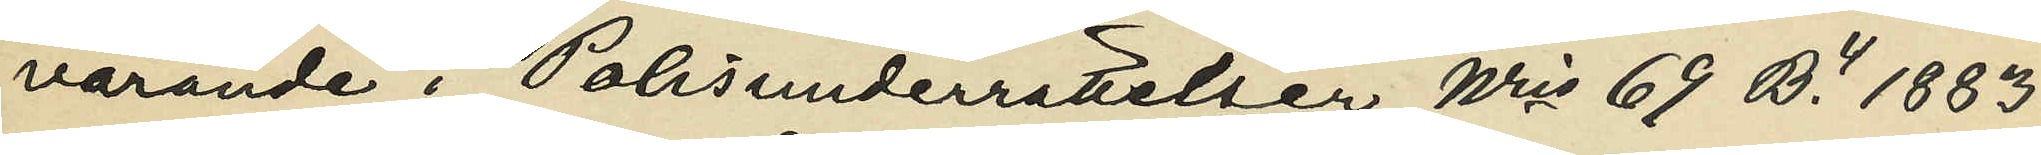varande i Polisunderrättelser Nris 69 B.4 1883
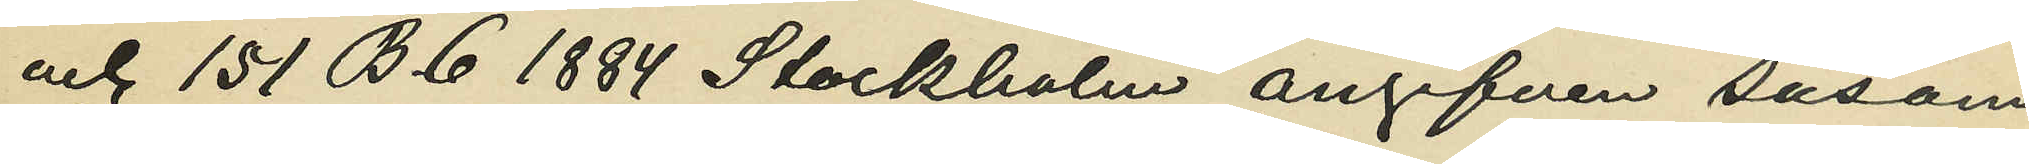och 151 B.6 1884 Stockholm angifven såsom
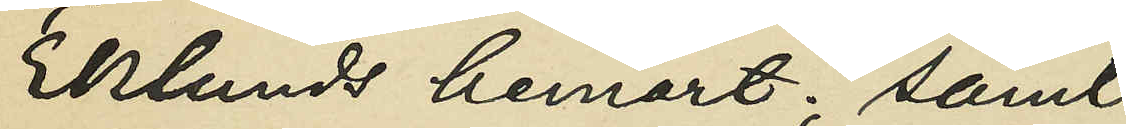Eklunds hemort; samt
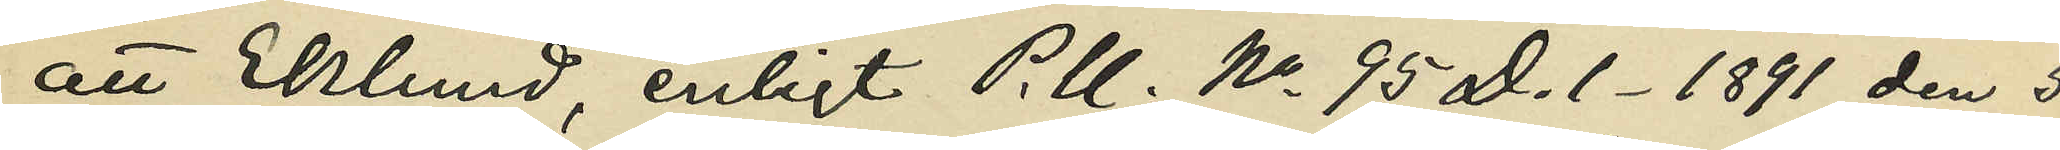att Eklund, enligt P. U. No 95 D. 1. 1891 den 5
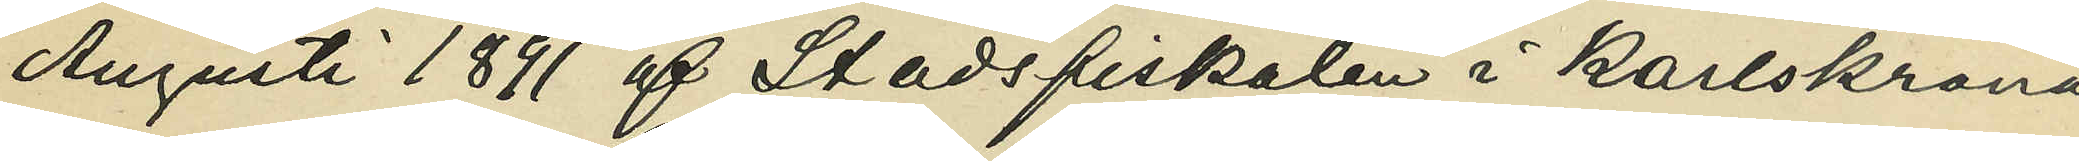Augusti 1891 af Stadsfiskalen i Karlskrona
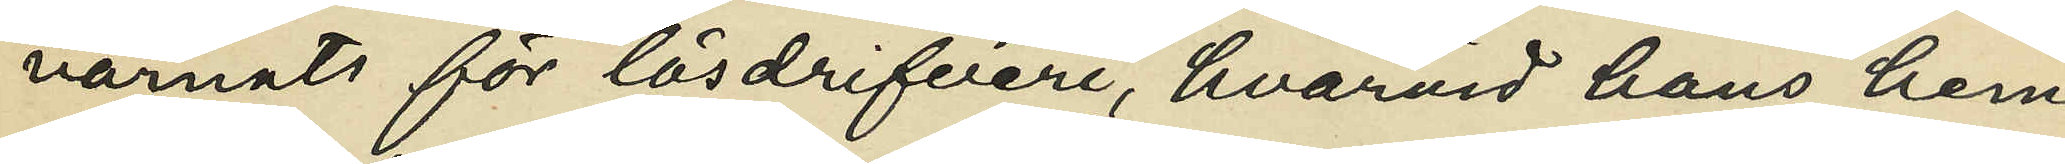varnats för lösdrifveri, hvarvid hans hem¬
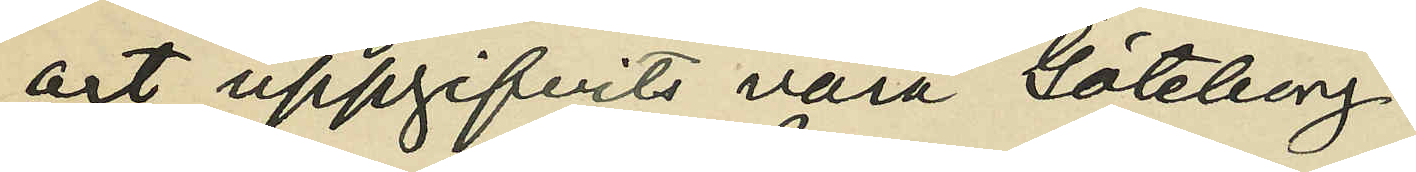ort uppgifvits vara Göteborg.
